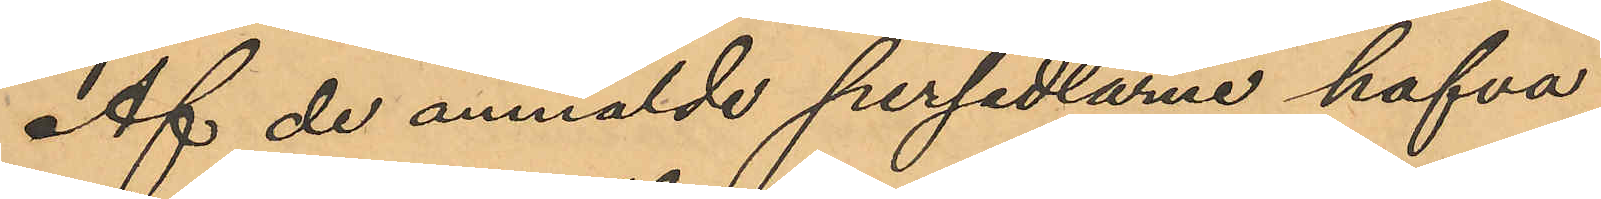Af de anmälde persedlarne hafva
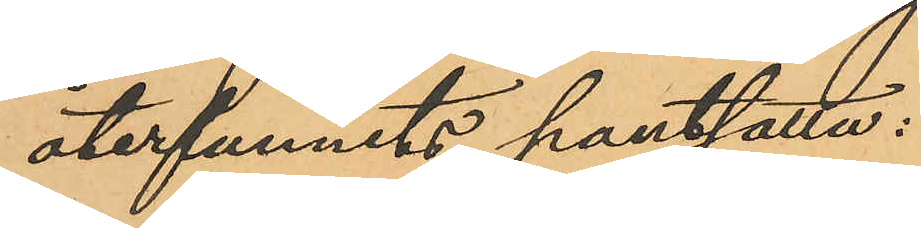återfunnits pantsatta:
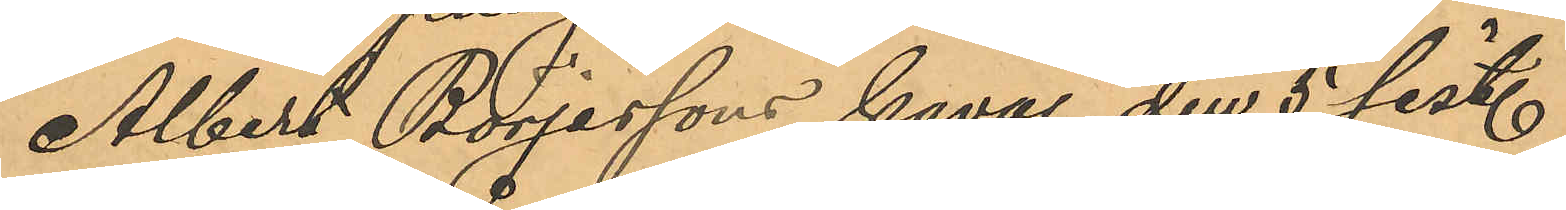Albert Börjessons kavaj den 5 sist.
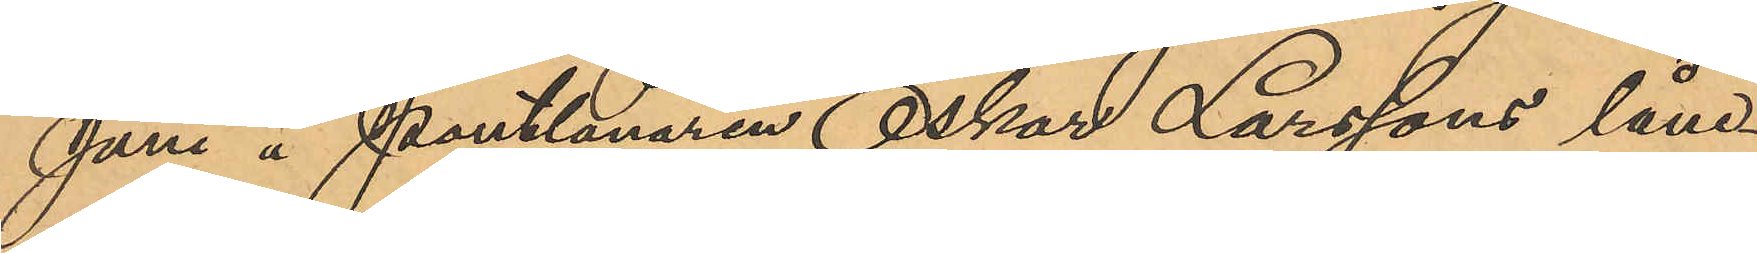Juni å Pantlånaren Oskar Larssons låne¬
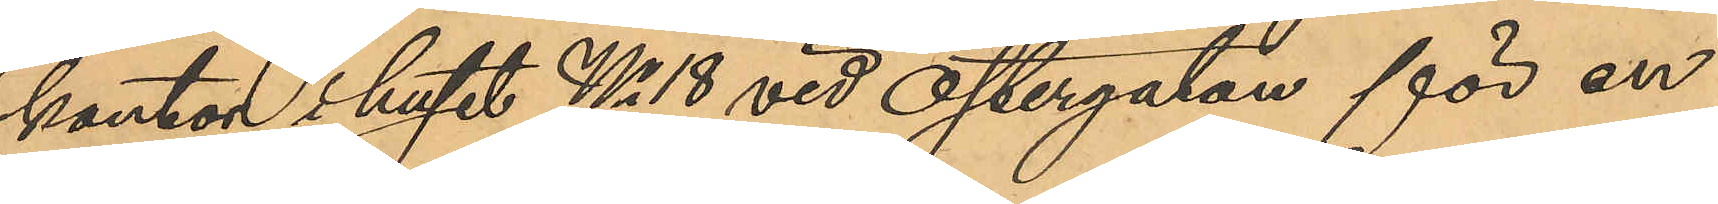kontor i huset No 18 vid Östergatan för en
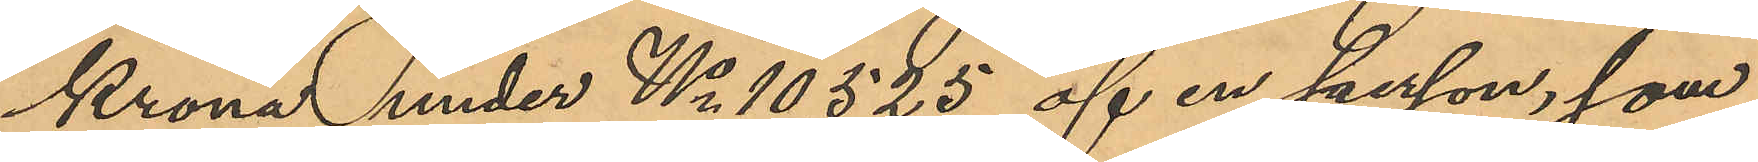Krona under No 10,525 af en person, som
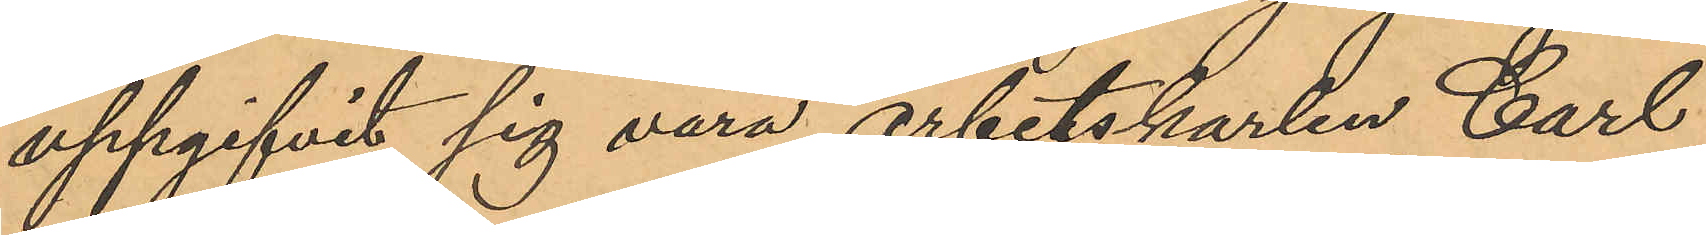uppgifvit sig vara arbetskarlen Carl
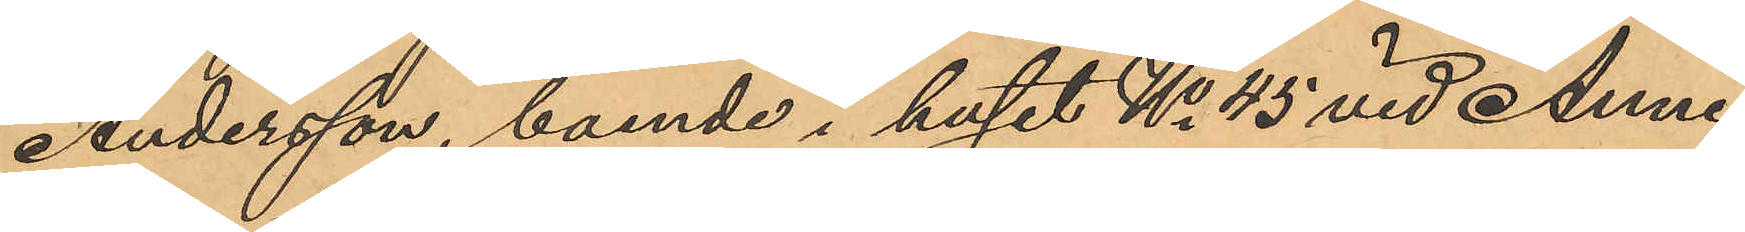Andersson, boende i huset No 45 vid Anne¬
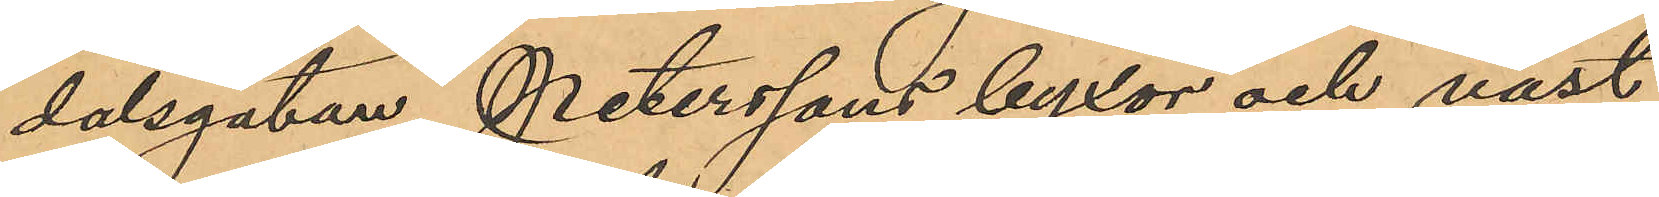dalsgatan, Peterssons byxor och väst
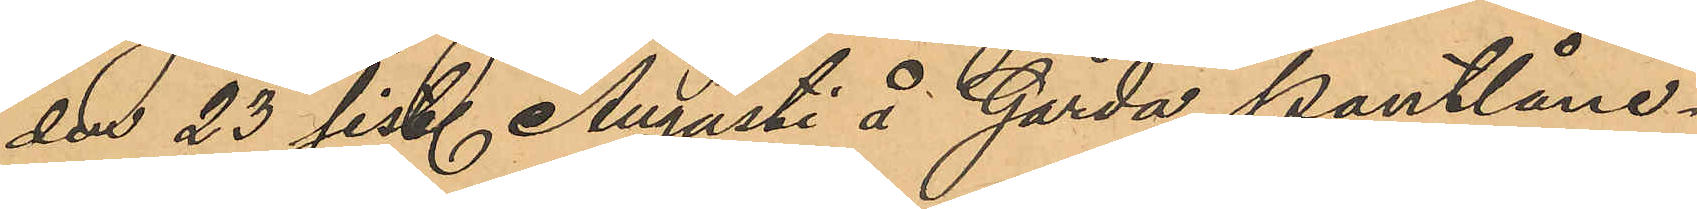den 23 sist. Augusti å Gårda Pantlåne¬
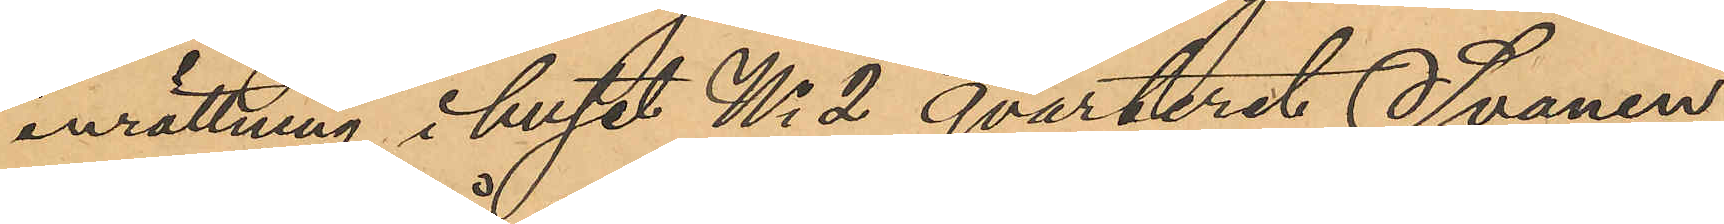inrättning i huset No 2 qvarteret Svanen
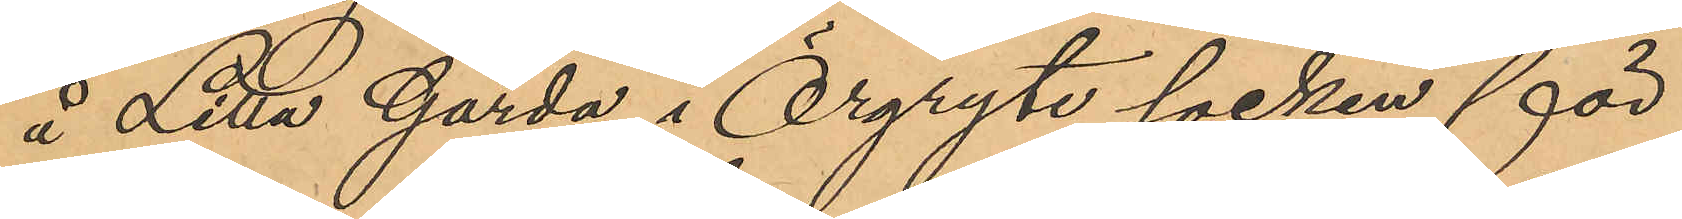å Lilla Gårda i Örgryte socken för
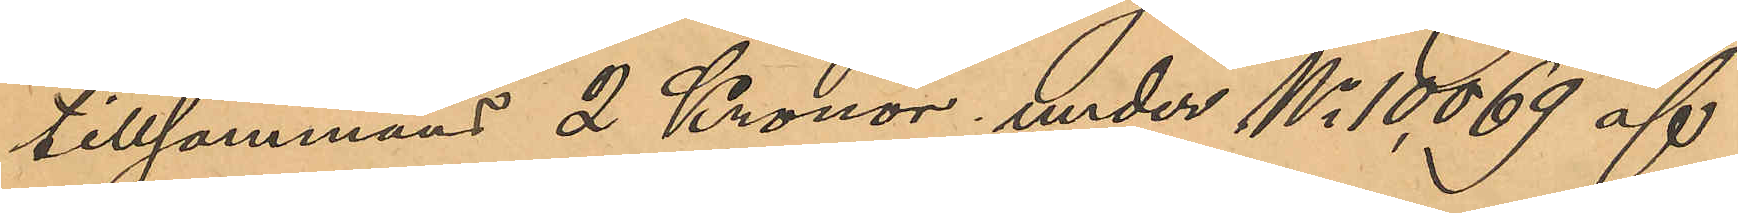tillsammans 2 Kronor, under No 10,069 af
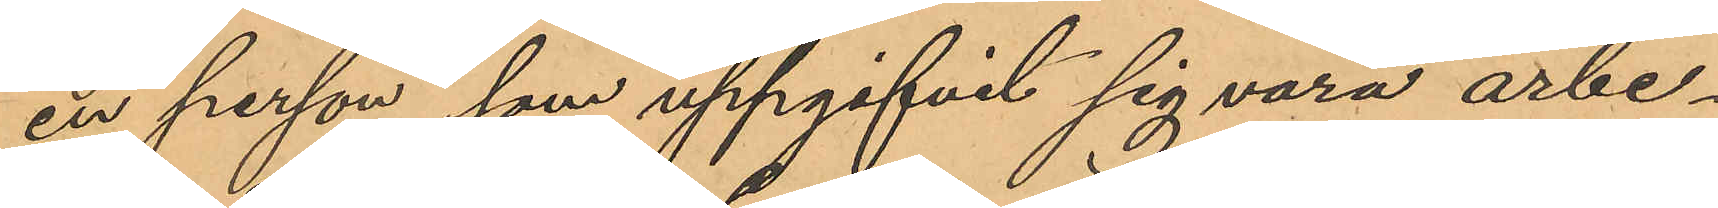en person, som uppgifvit sig vara arbe¬
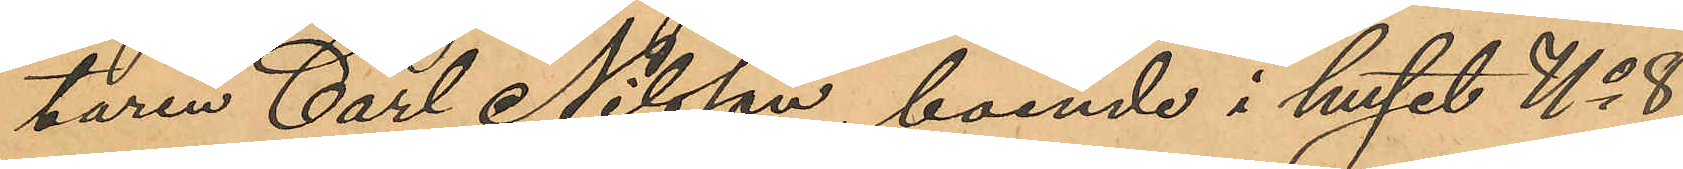taren Carl Nilsson, boende i huset No 8
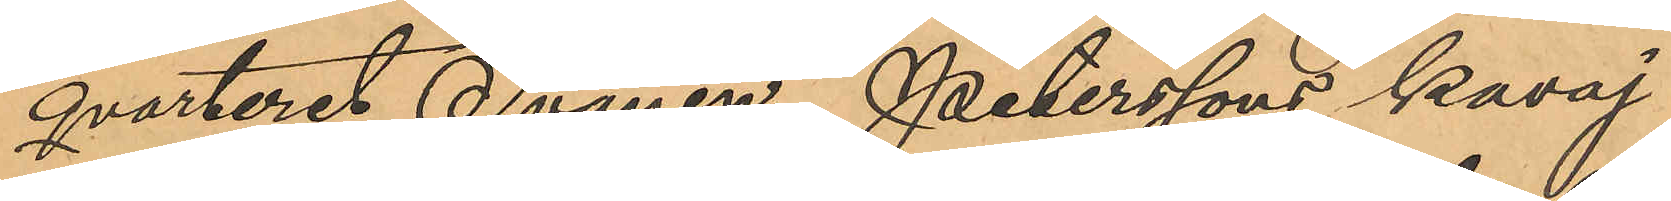qvarteret Svanen, Peterssons kavaj
